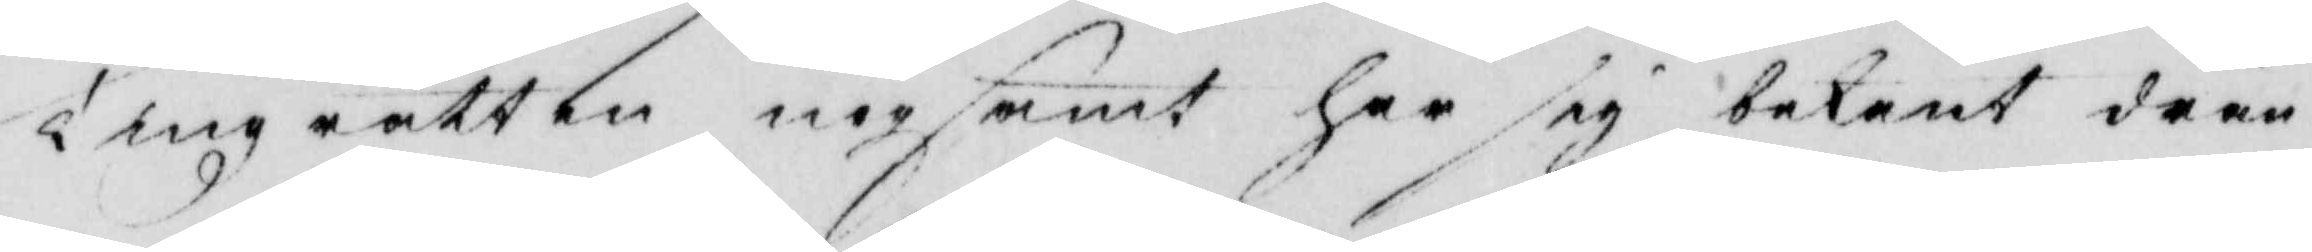tingz rätten nogsamt har sig bekant dren¬
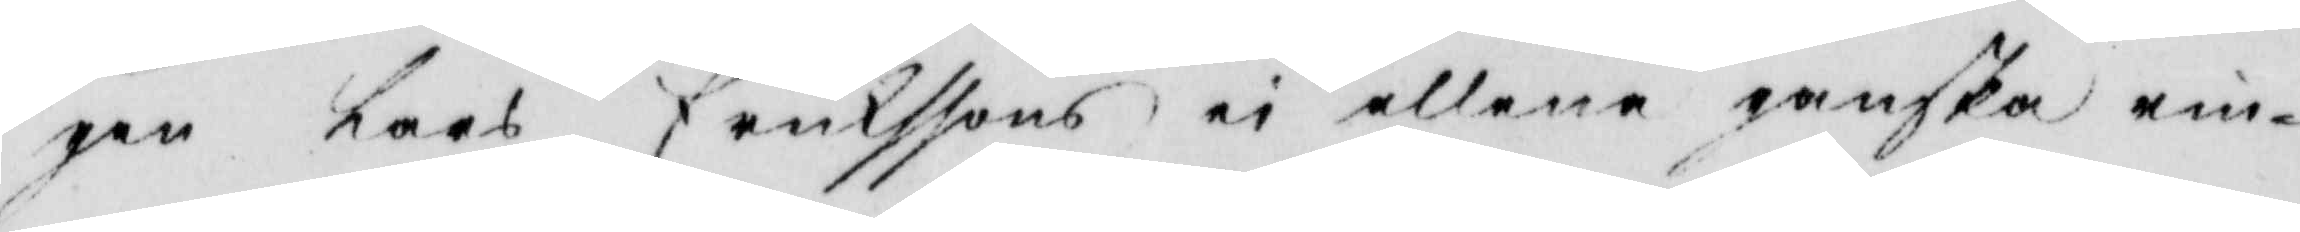gen Lars Erickssons ei allena ganska rin¬
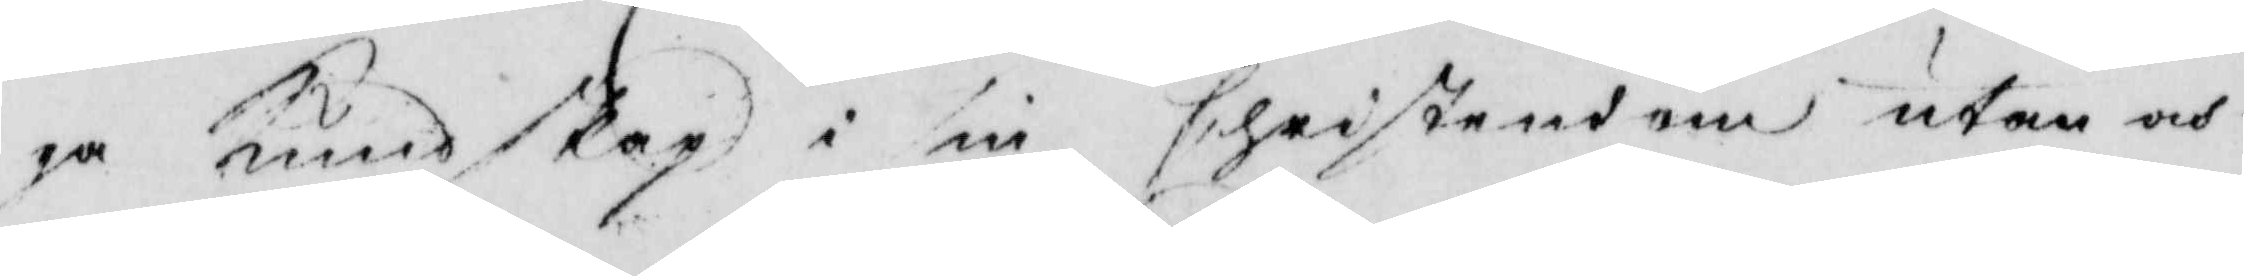ga Kundskap i sin Christensom utan och
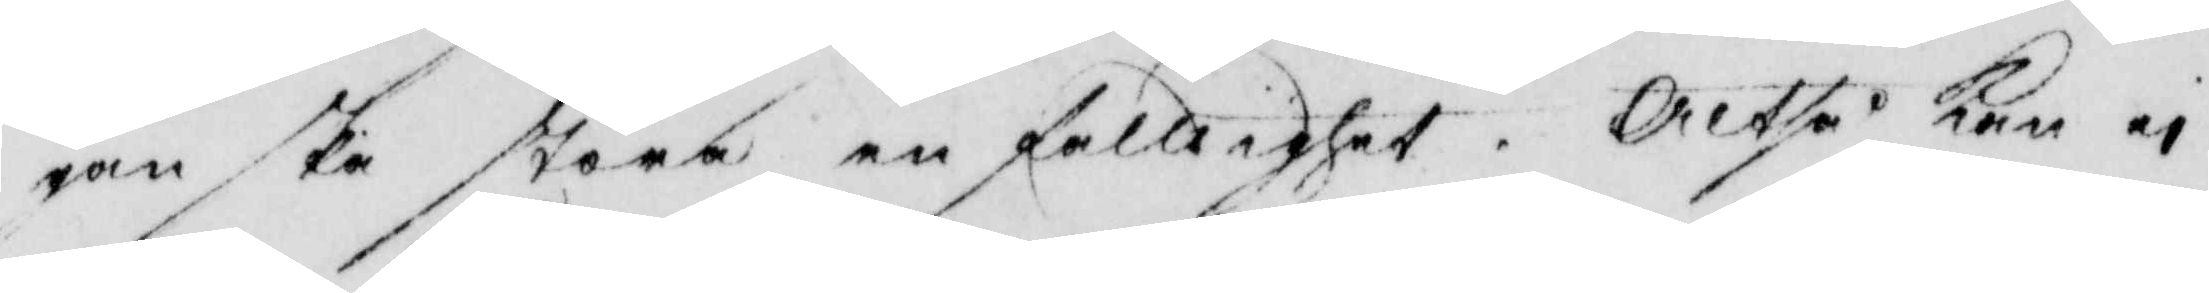ganska stora enfalldighet. Altså kan ei
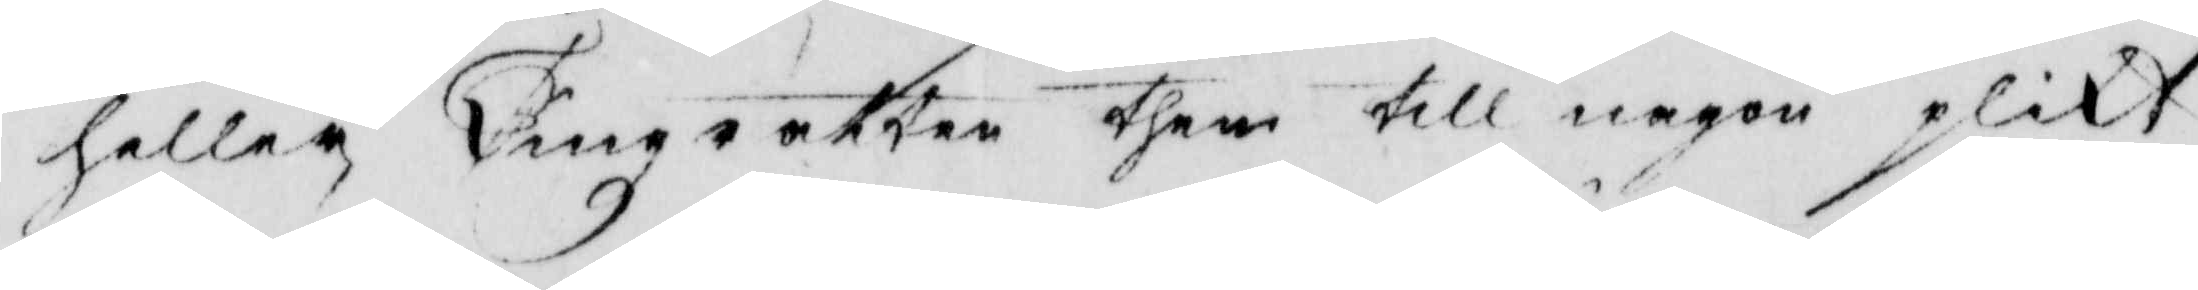heller Tingzrätten them till någon plikt
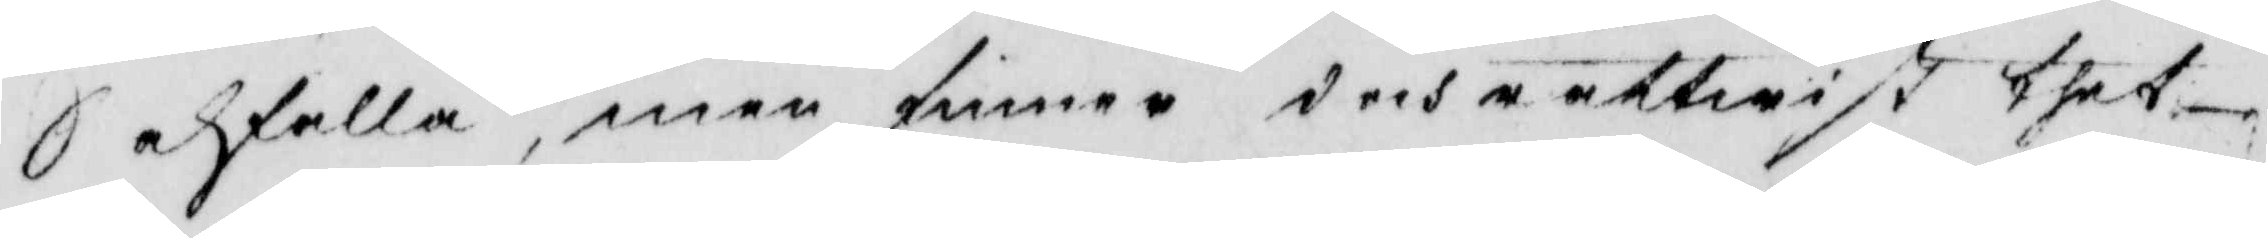Sakfälla, men finner doch rättwist thet
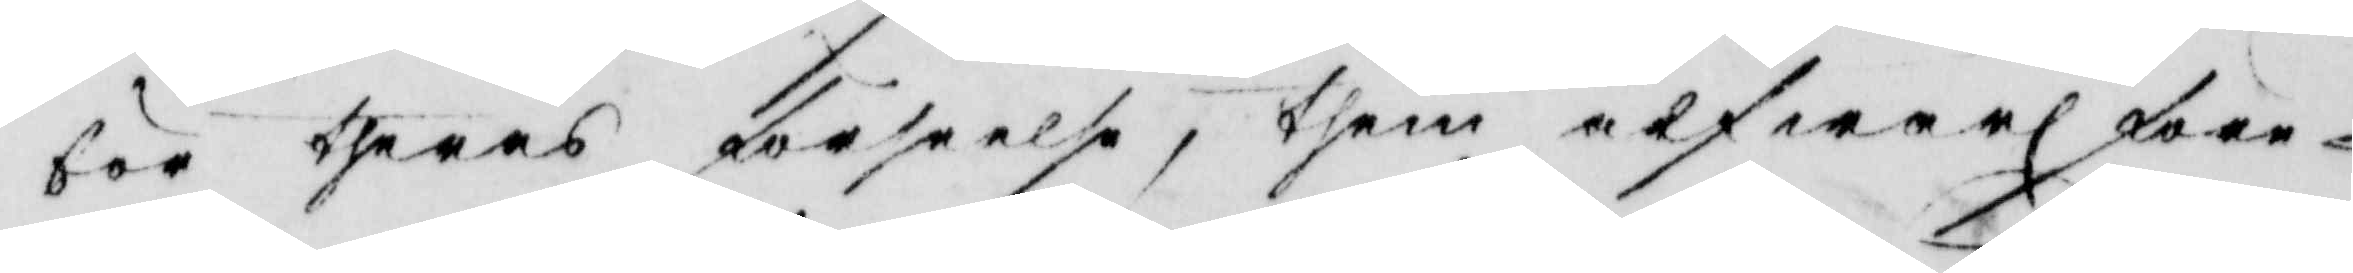bör theras förseelse, them alfwarl före¬
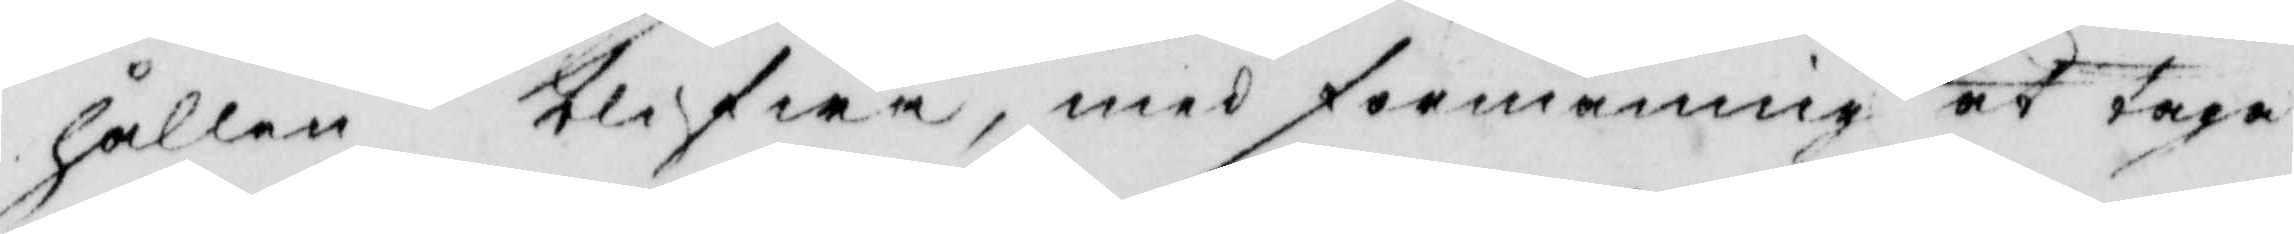hållen blifwa, med förmaning at taga
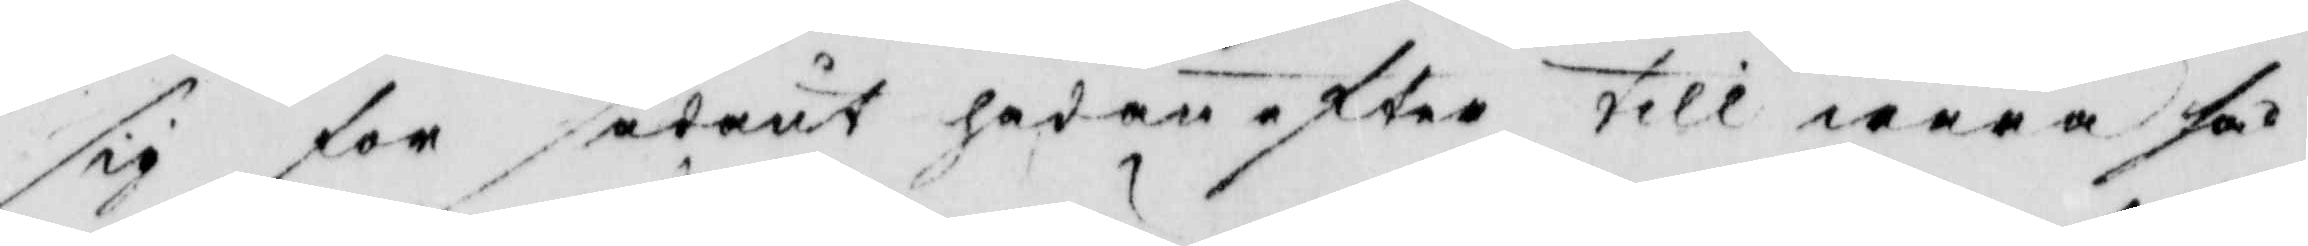sig för sådant hädanefter till wara så
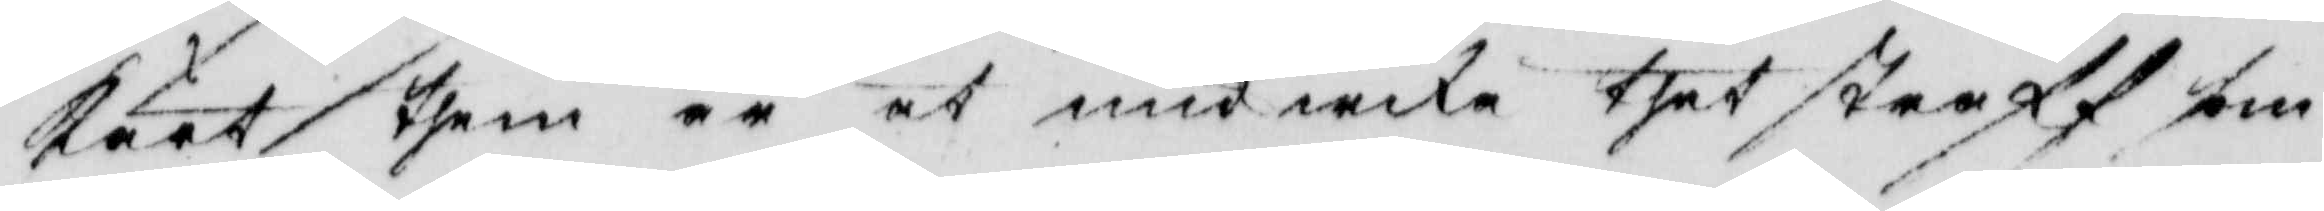kärt them är at undwika thet straff som
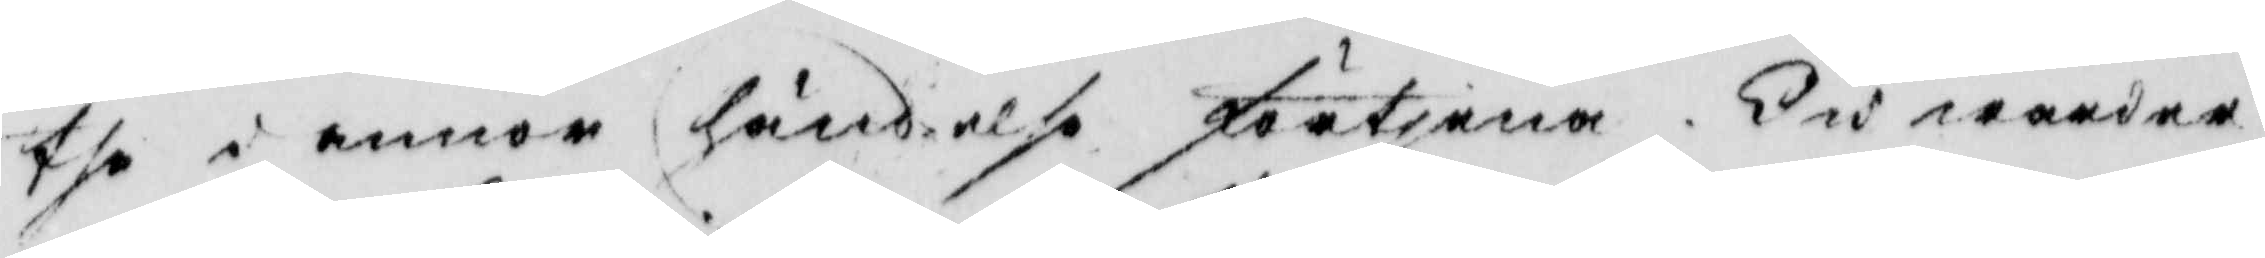the i annor händelse förtjenar, Och warder
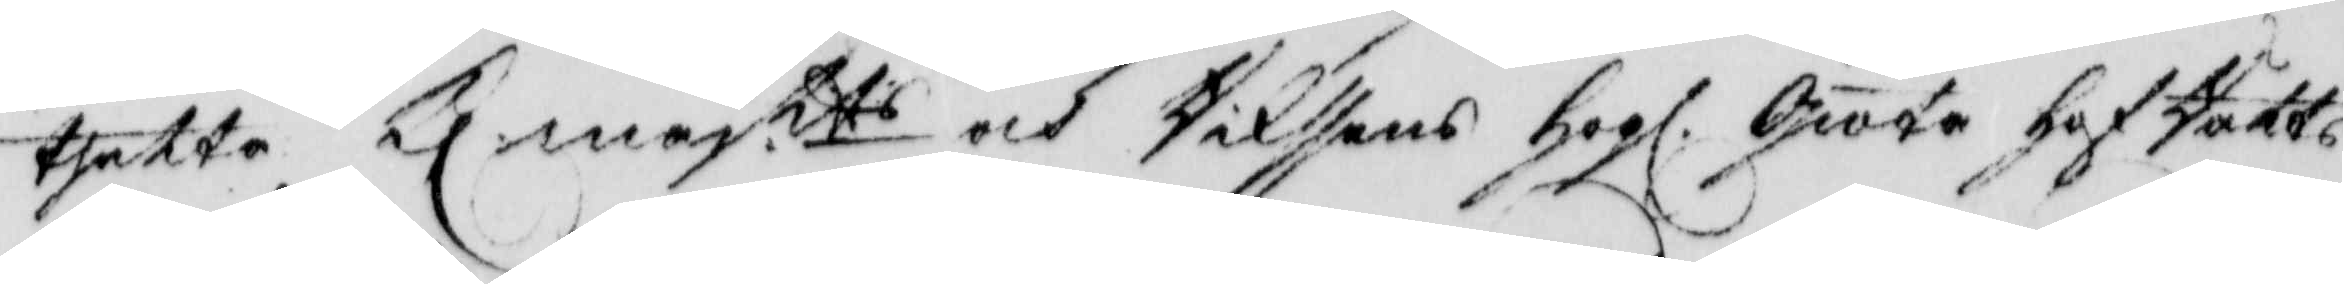thetta Kl majtts och Rikssens Hogl. Giöta HofRätts
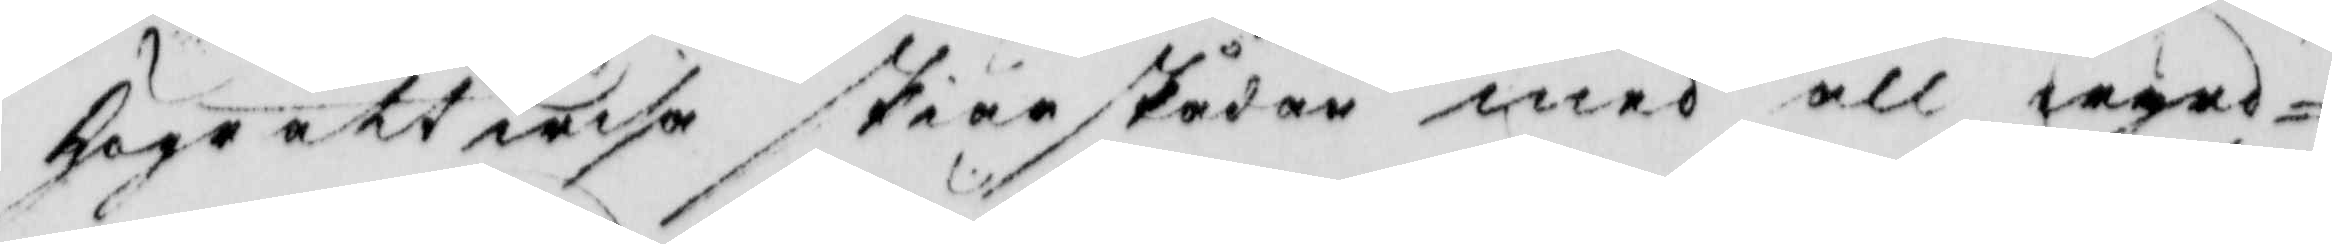Högrättwisa skiärskådan med all wyrd¬
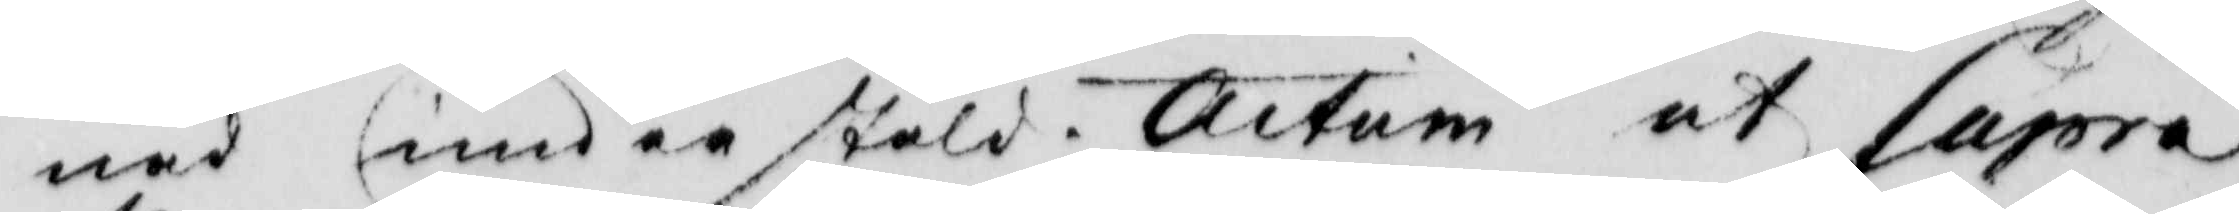nad understäld. Actum ut Supra
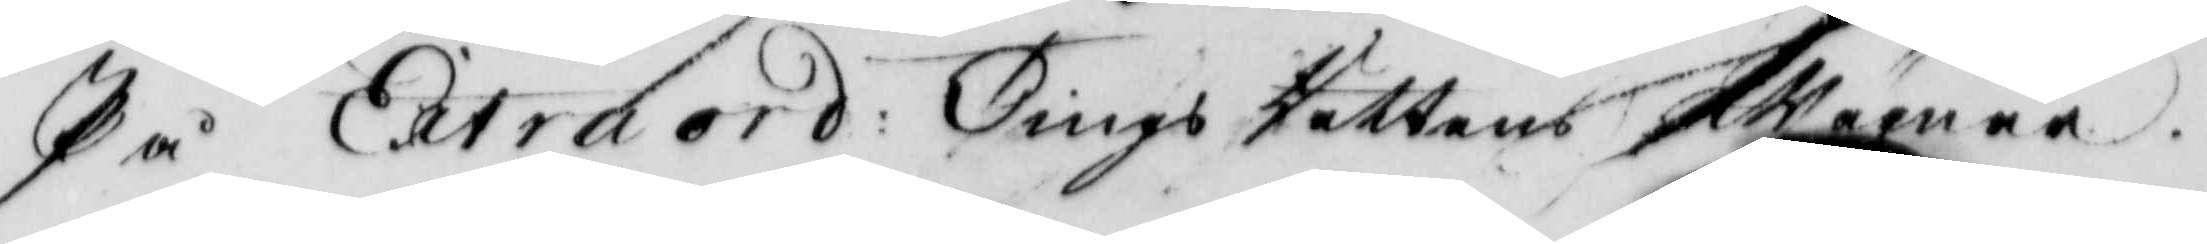På Extraord: Tings Rättens Wägnar.
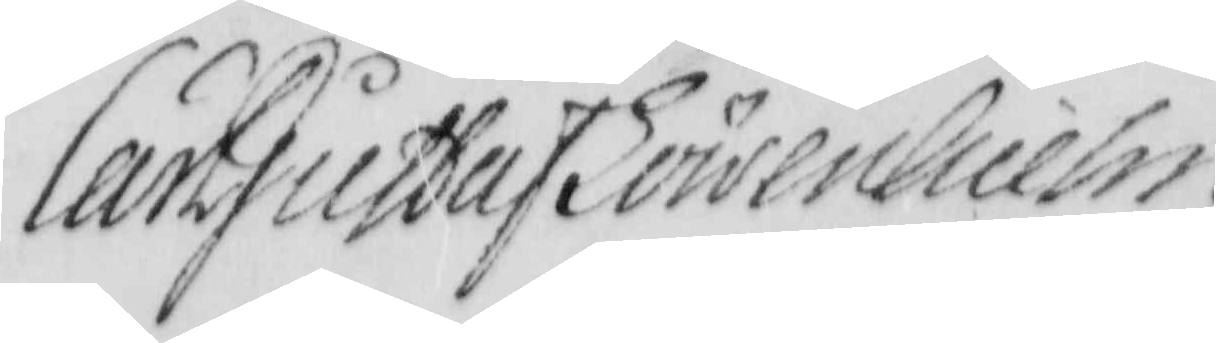Lar Gustaf Löwenhielm
